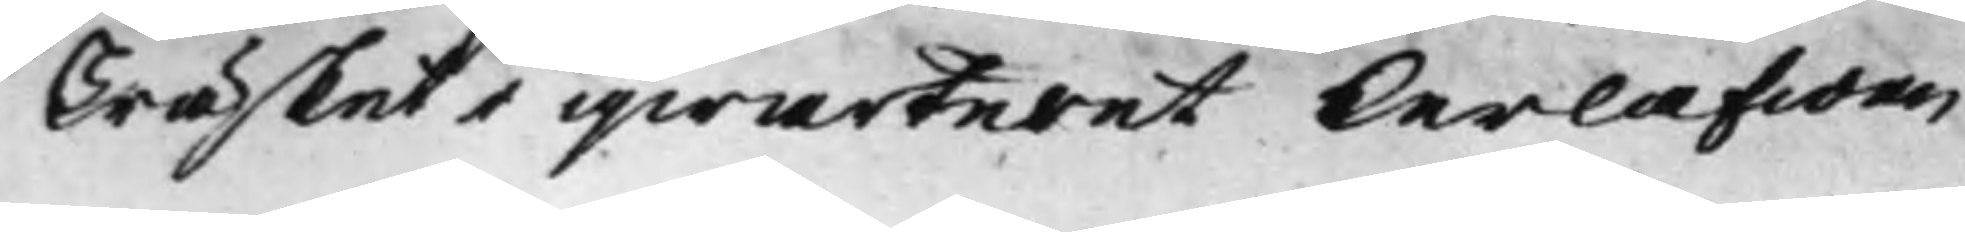Träsket i qwarteret Lerlafwen
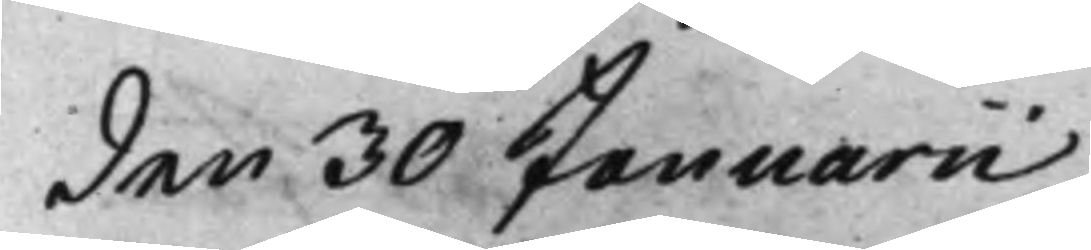den 30 Januarii
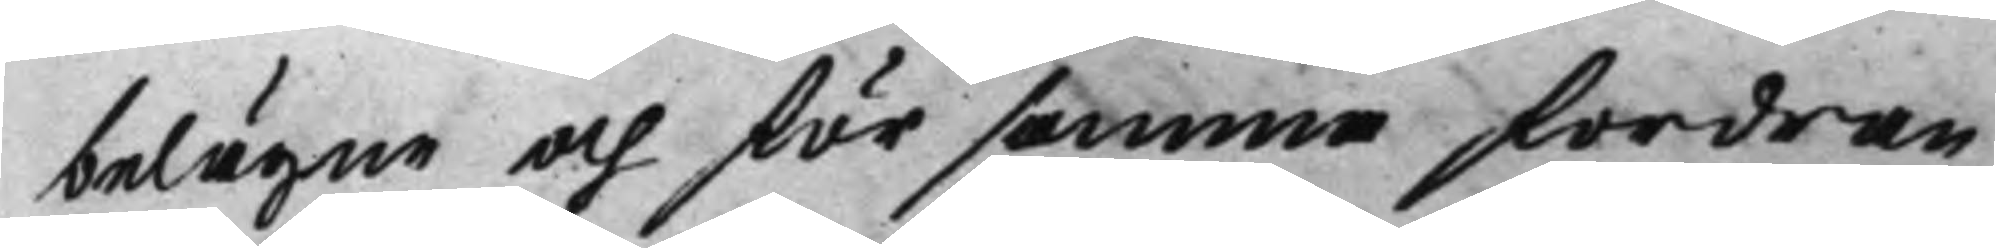belägne och för samma fordran
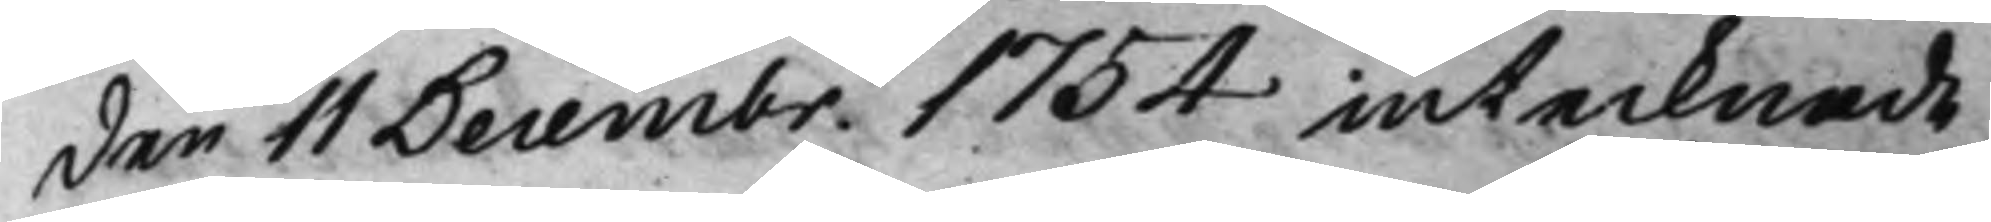den 11 Decembr. 1754 intecknade
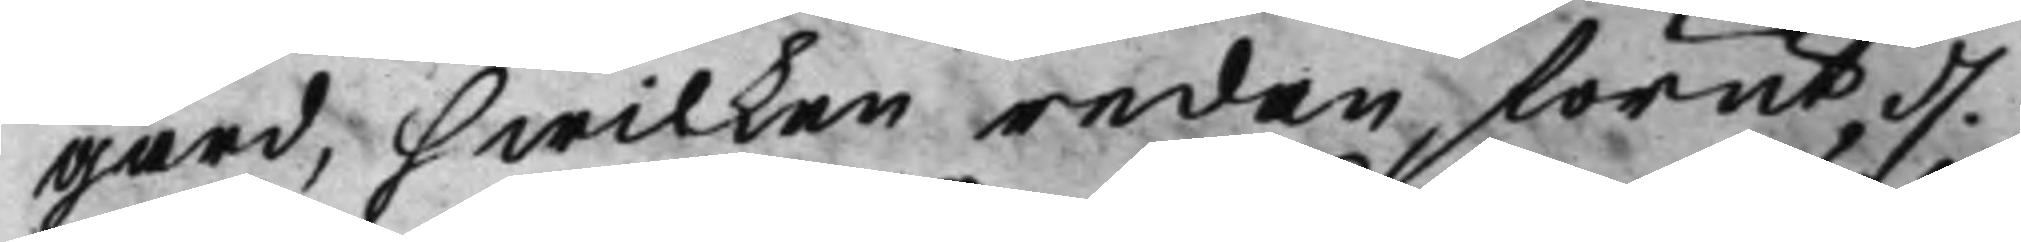Gård, hwilken redan förut d.
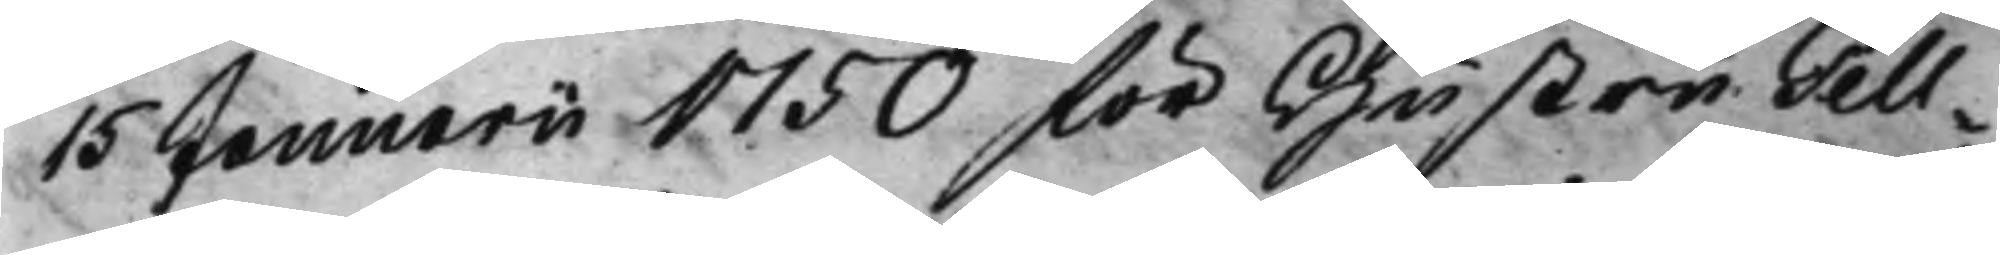15 Januarii 1750 för Hustru Tell¬
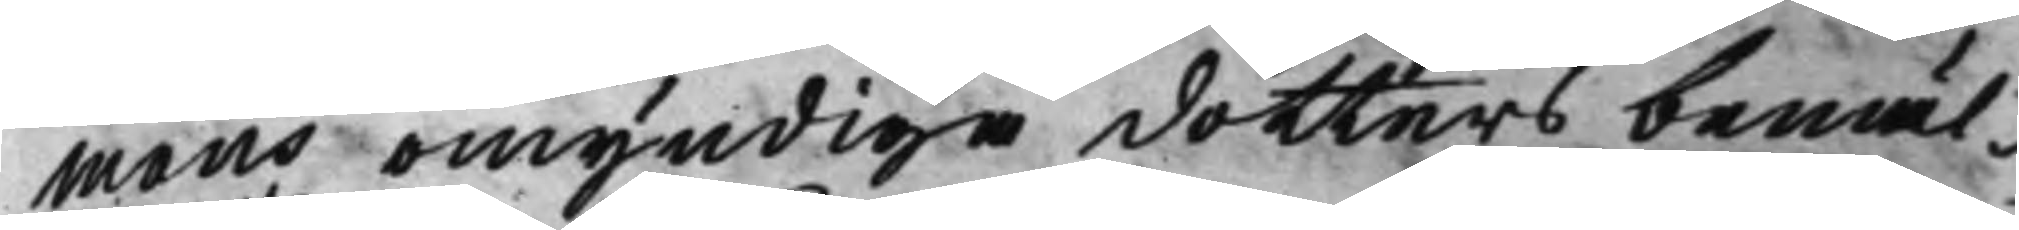mans omyndige dotters bemäl¬
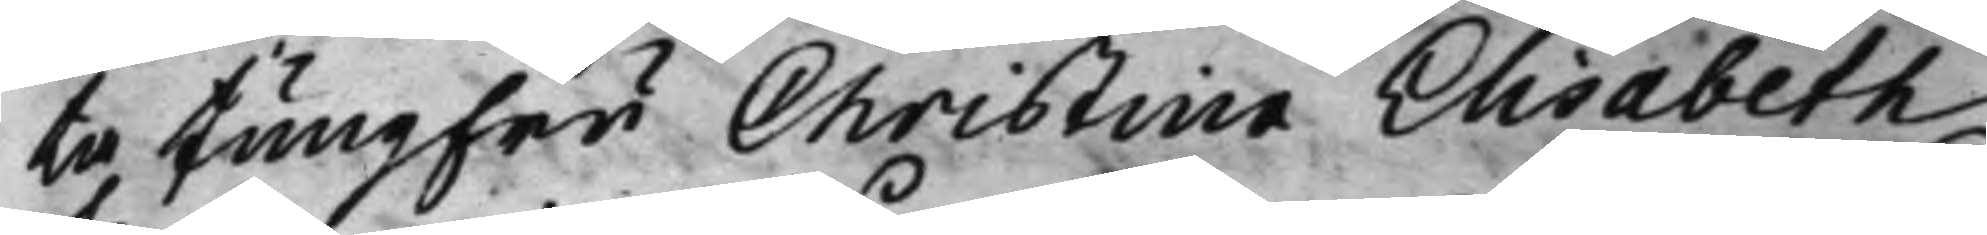ta Jungfru Christina Elisabeth
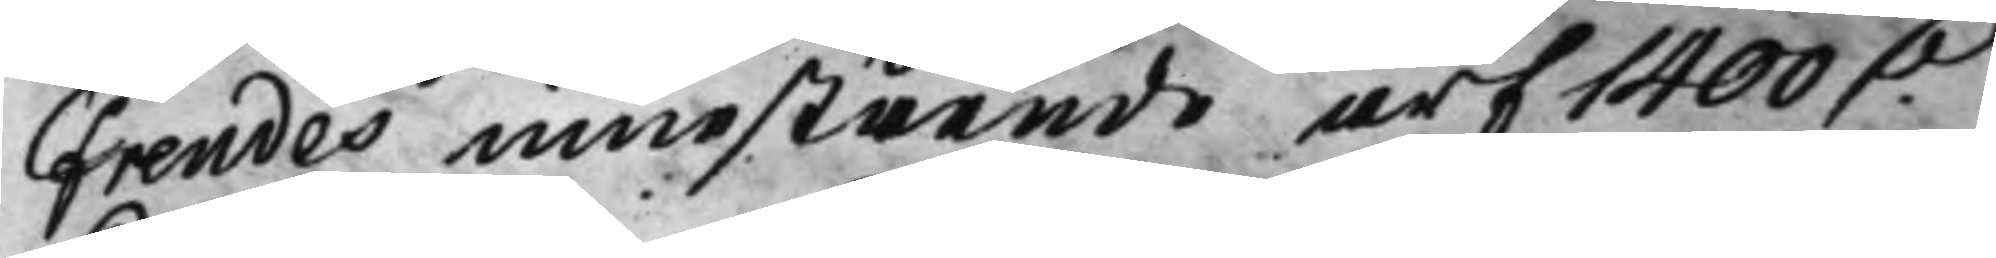Frendes innestående arf 1400 D.
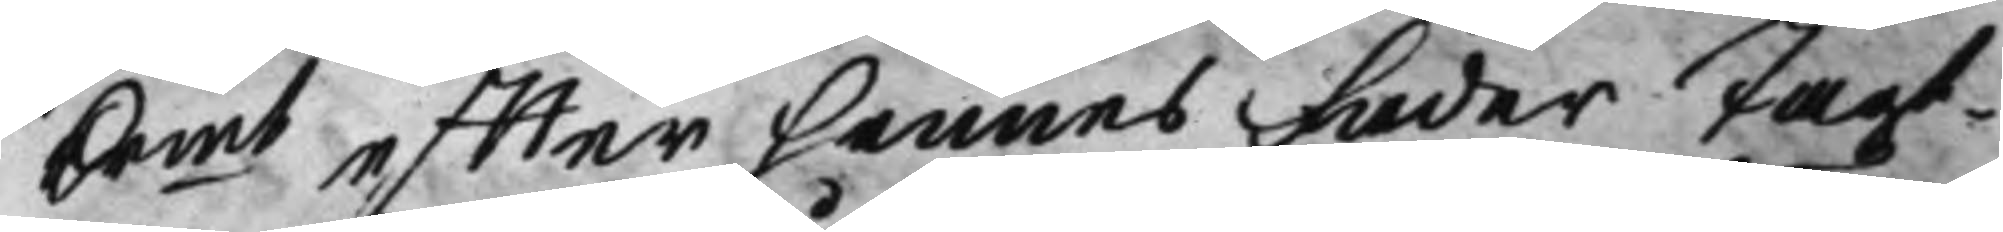Krmt effter hennes Fader Jagt¬
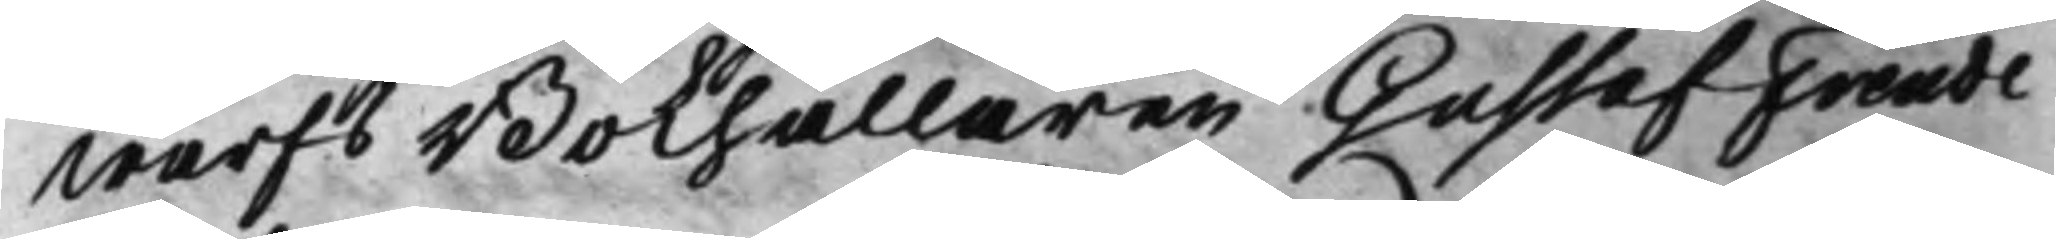warfs Bokhållaren Gustaf Frende
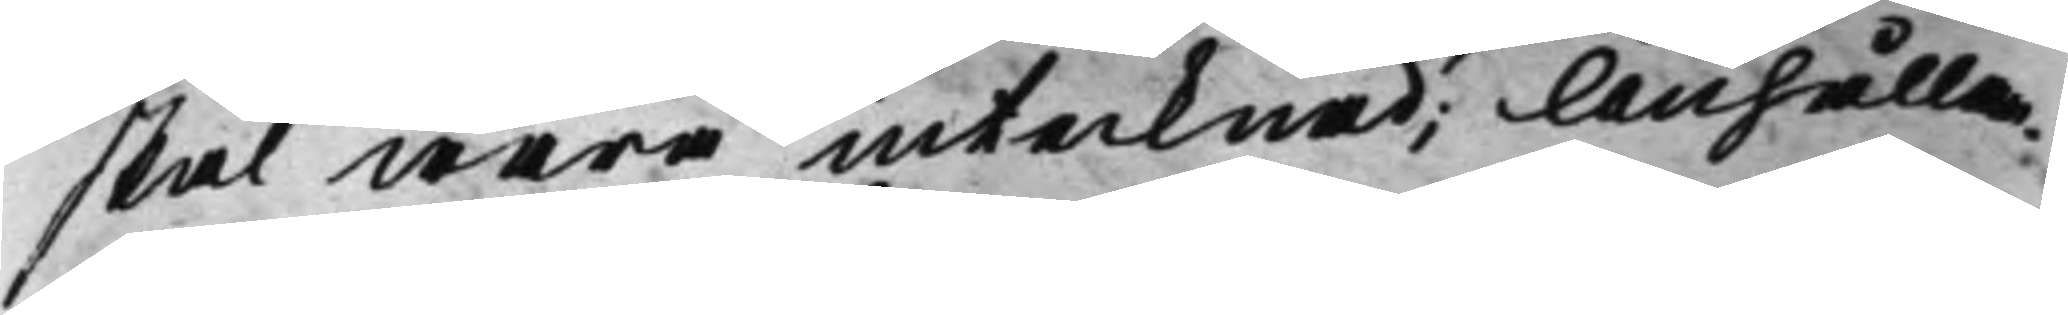skal wara intecknad; Anhållan¬
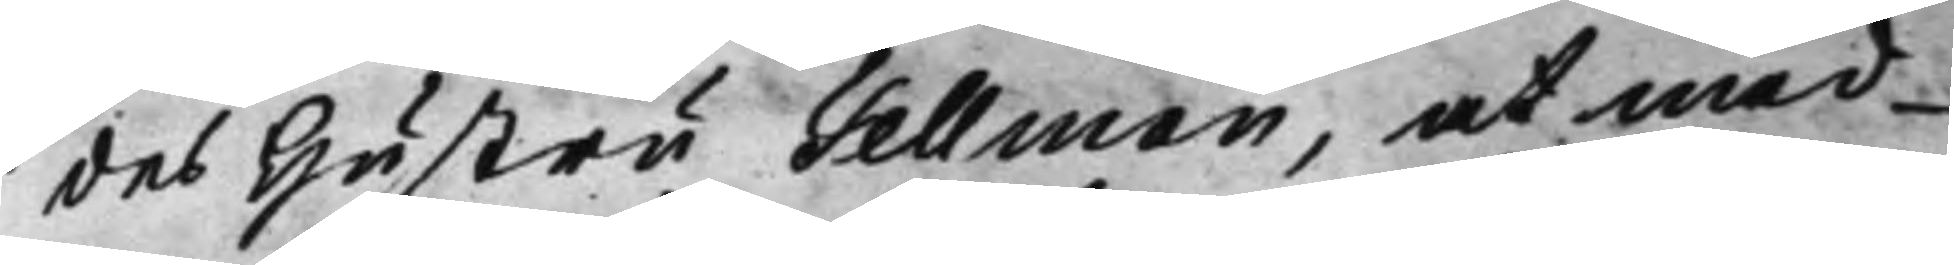des Hustru Tellman, at med
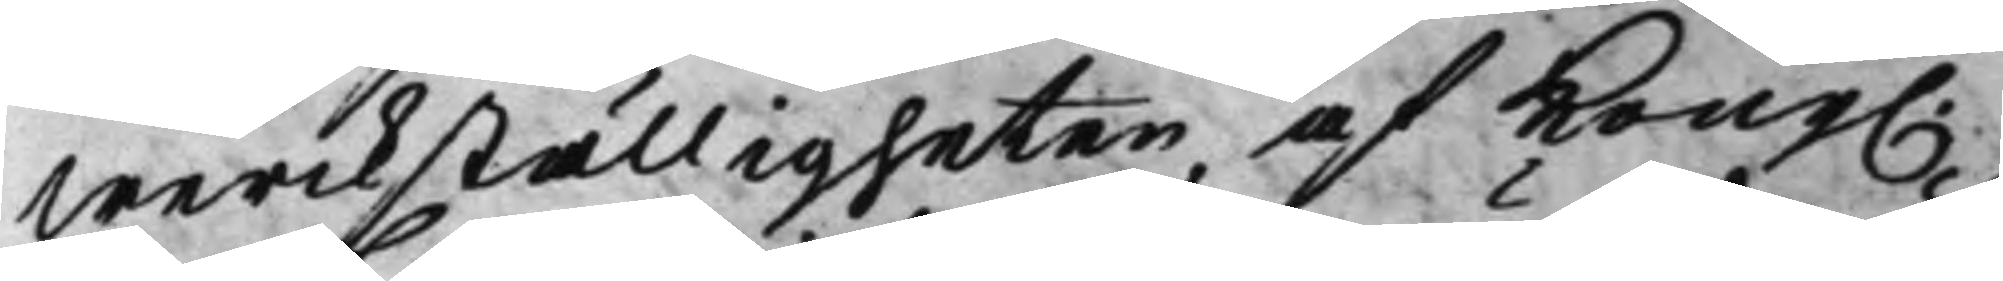werckställigheten af Kong.
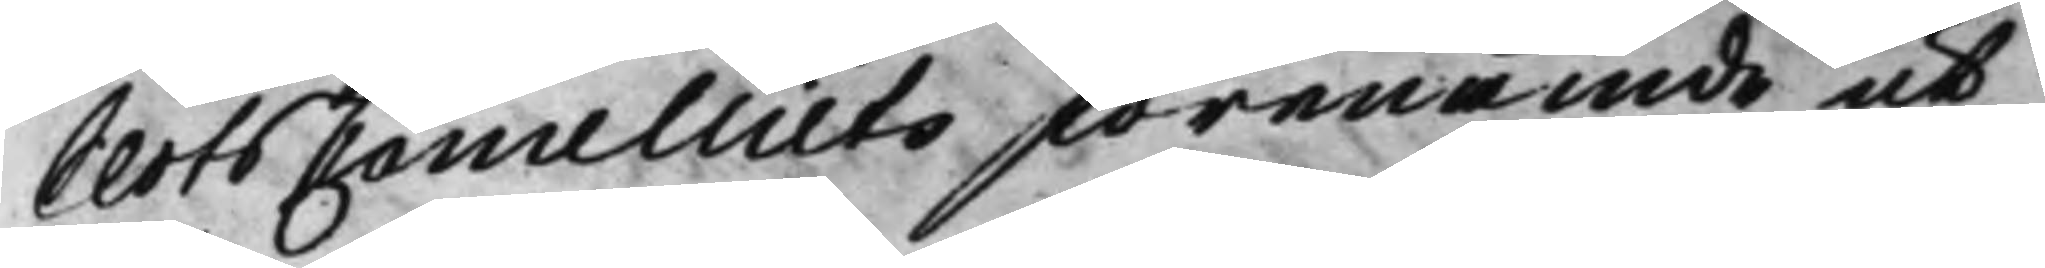SlotsCancelliets förenämde ut¬
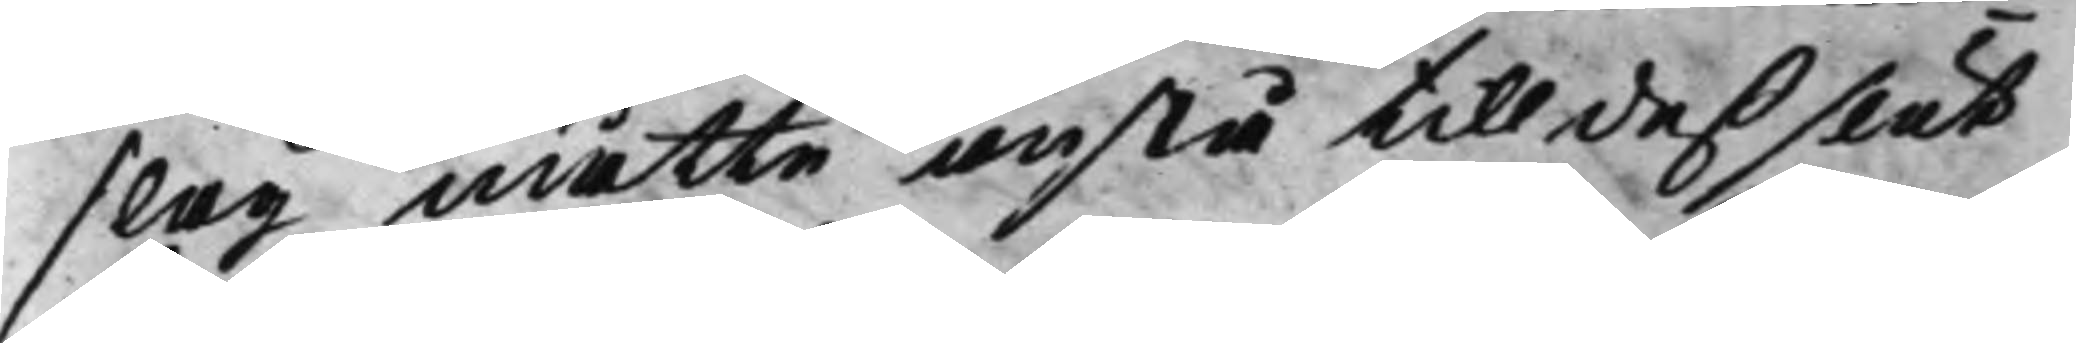slag måtte anstå till deß slut
